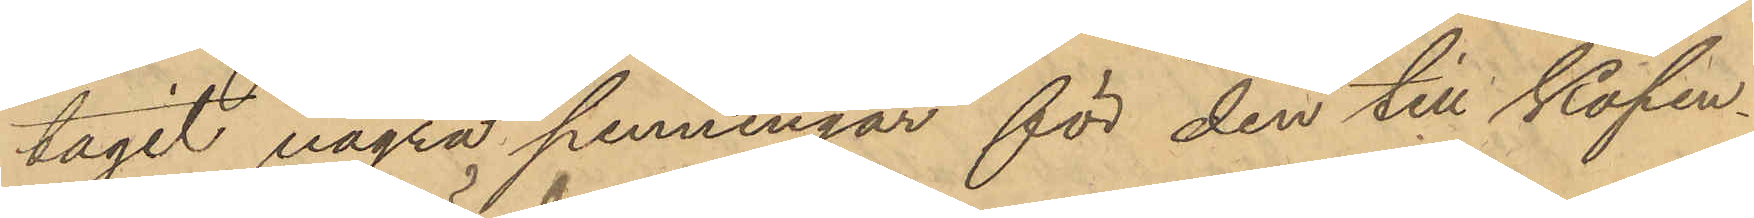tagit några penningar för den till Köpen¬
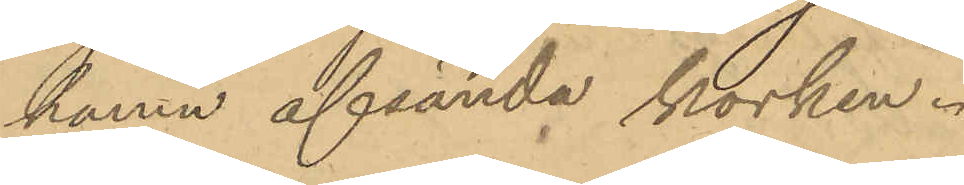hamn afsända korken.
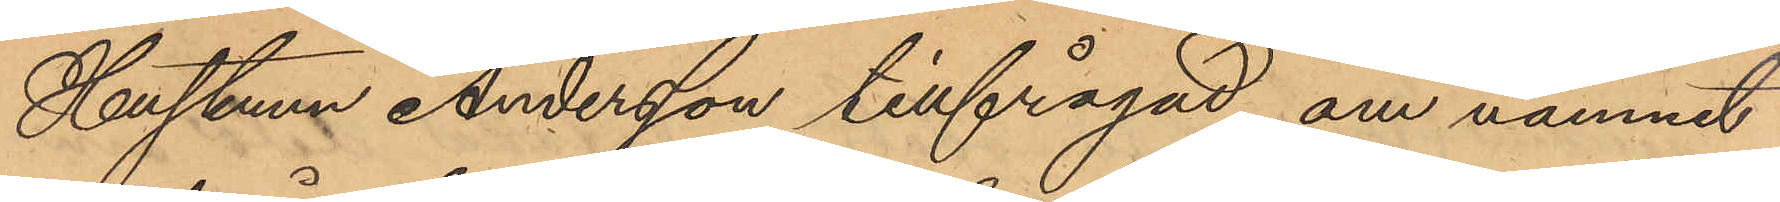Hustrun Andersson tillfrågad om namnet
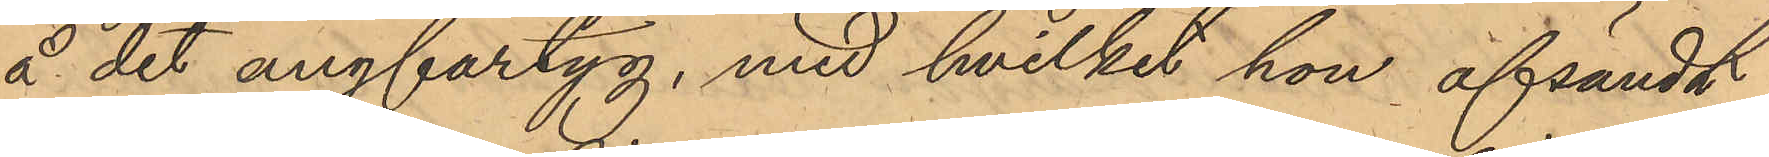å det ångfartyg, med hvilket hon afsändt
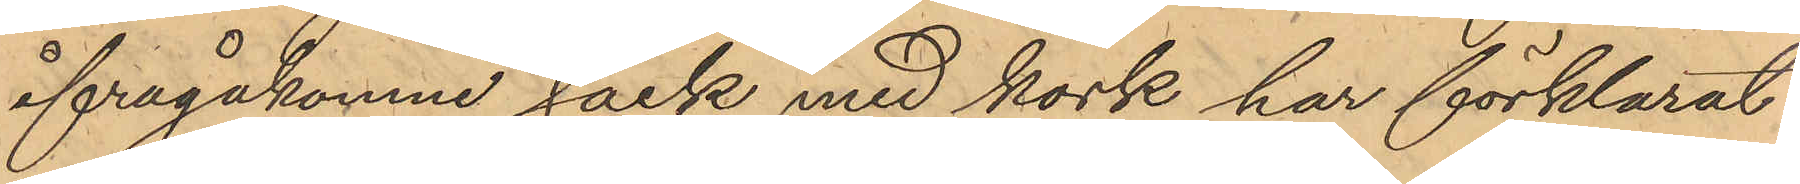ifrågakomne säck med körk har förklarat
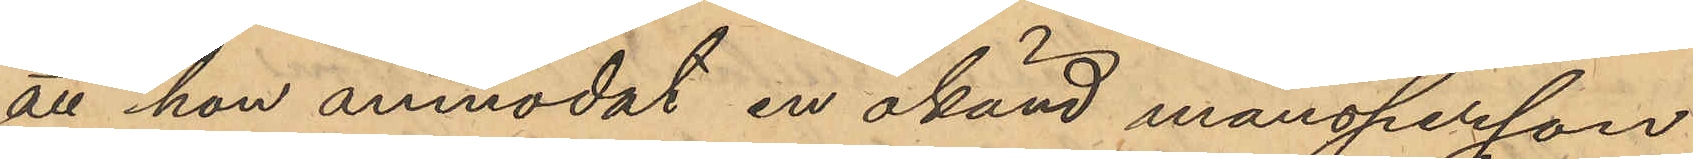att hon anmodat en okänd mansperson
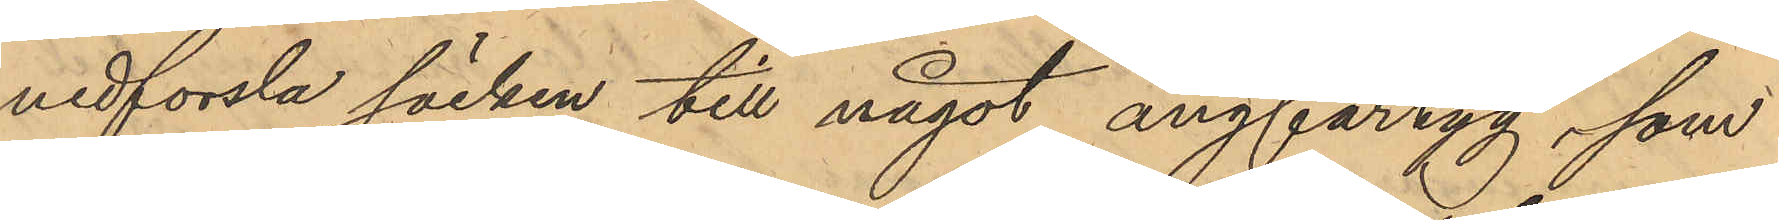nedforsla säcken till något ångfartyg, som
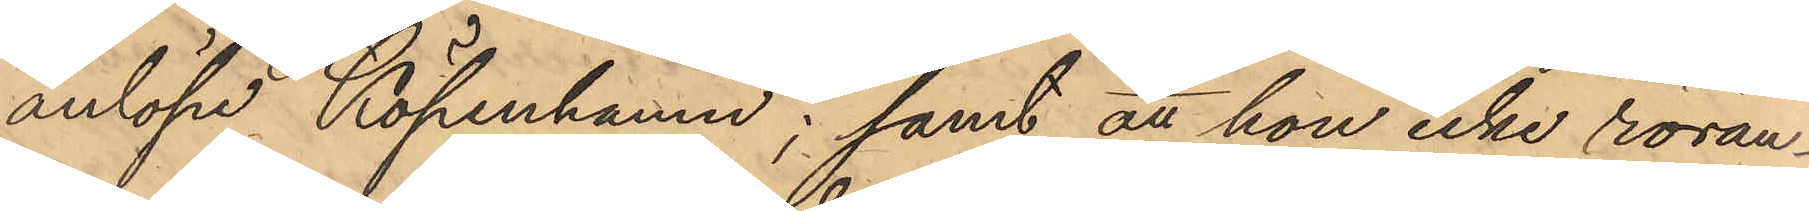anlöpe Köpenhamn; samt att hon icke röran¬
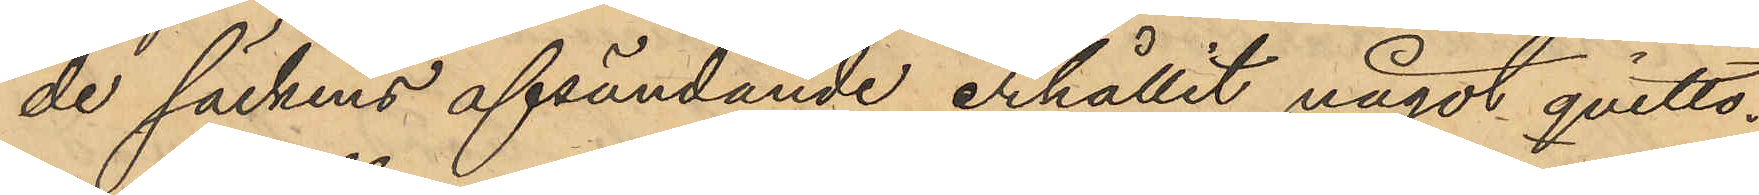de säckens afsändande erhållit något qvitto.
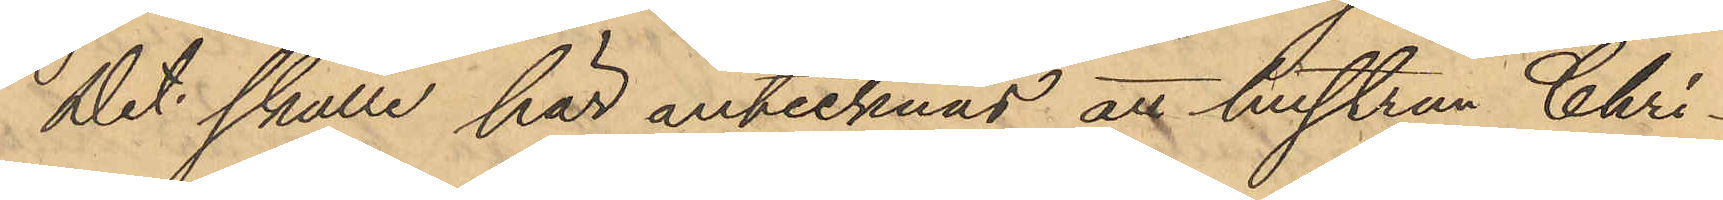Det skulle här antecknas att hustrun Chri¬
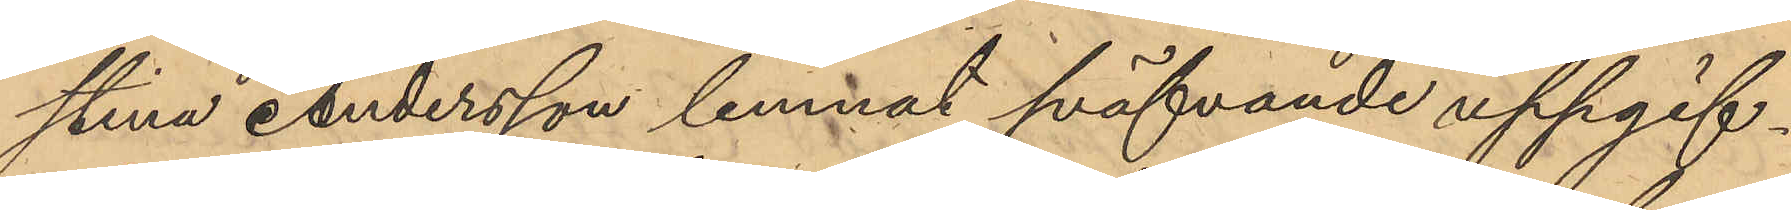stina Andersson lemnat sväfvande uppgif¬
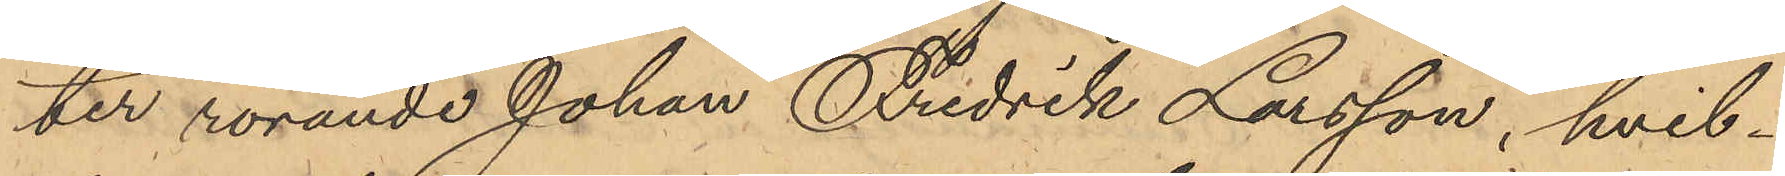ter rörande Johan Fredrik Larsson, hvil¬
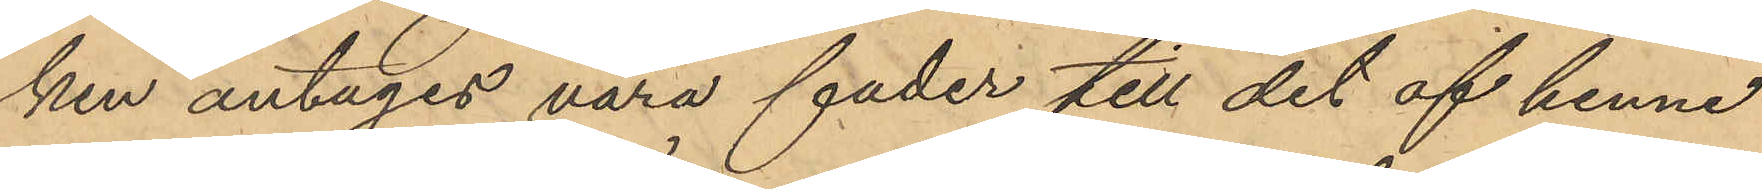ken antages vara fader till det af henne
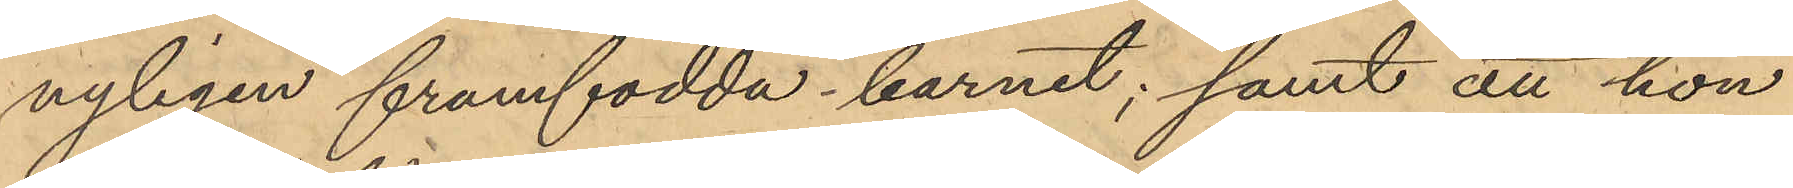nyligen framfödda barnet; samt att hon
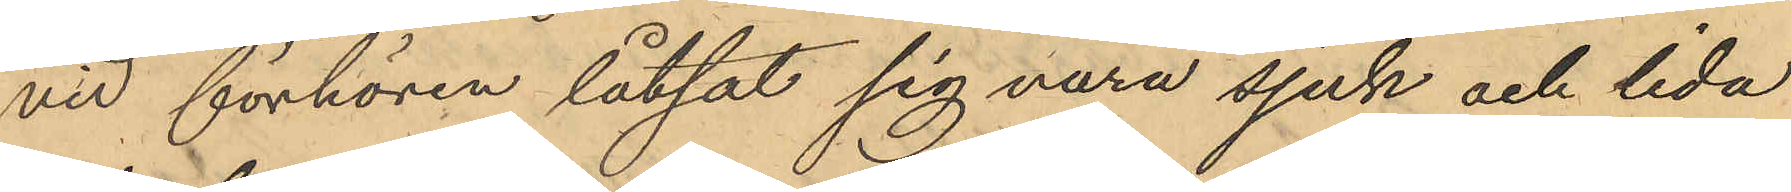vid förhören låtsat sig vara sjuk och lida
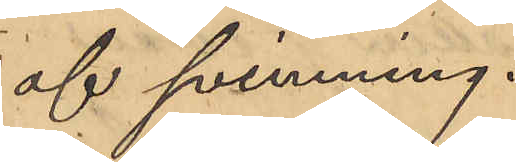af svimning.
